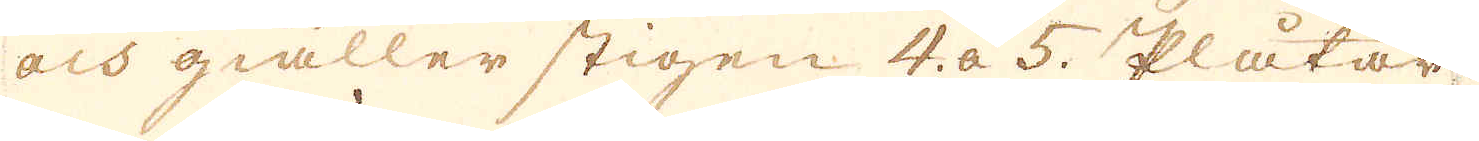och giäller stigen 4. a 5. Plåtar.
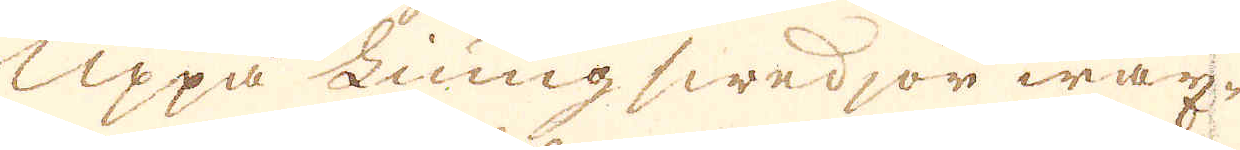Uppå Liung swedjor wäx-
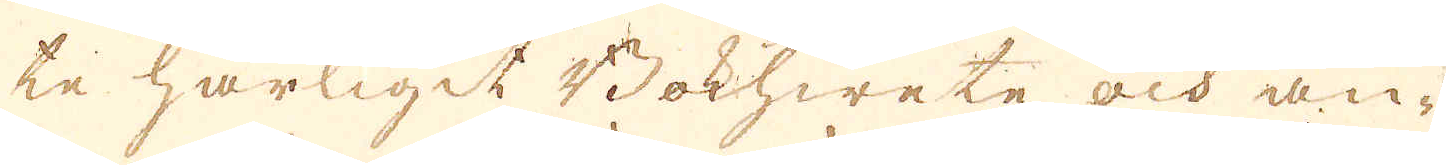te härligit Bokhwete och än-
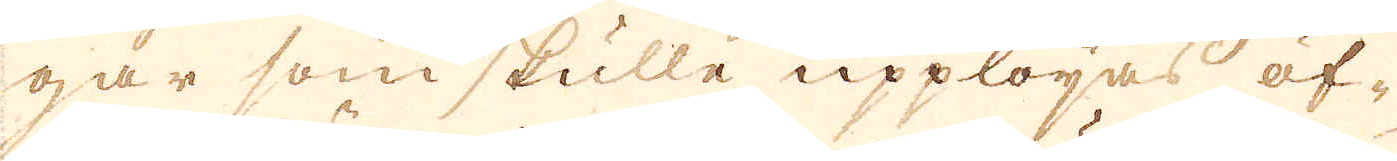gar som skulle upplöjas öf-
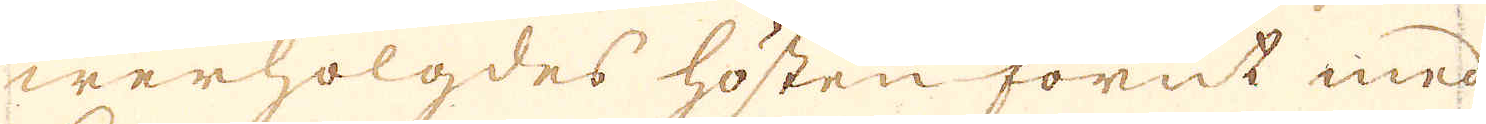werhölgdes hösten förut med
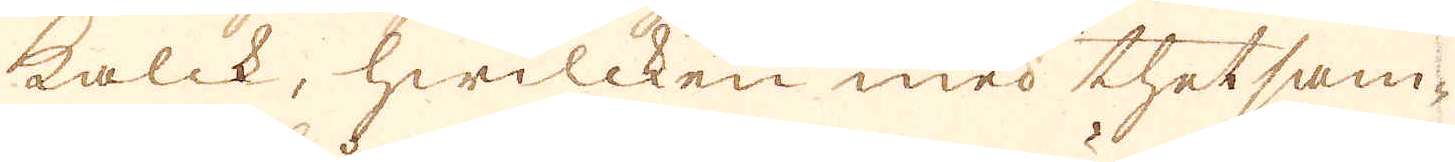kalck, hwilcken med thet sam-
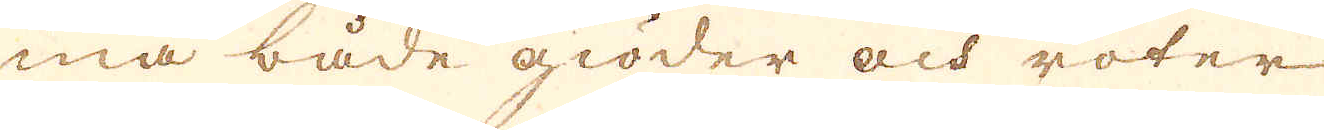ma både giöder och röter
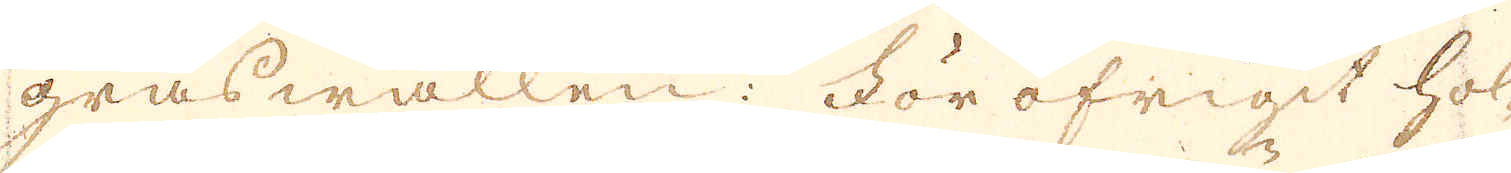gräswallen; För öfrigit hol-
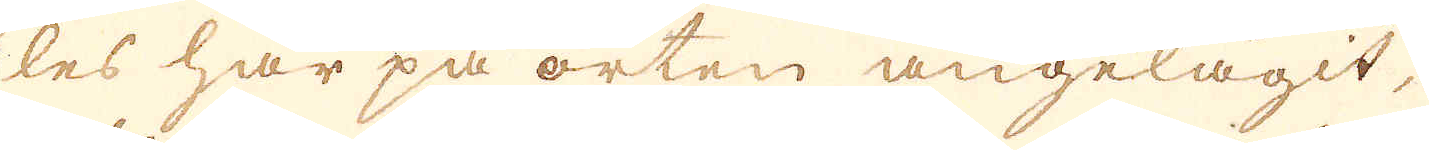les här på orten angelägit,
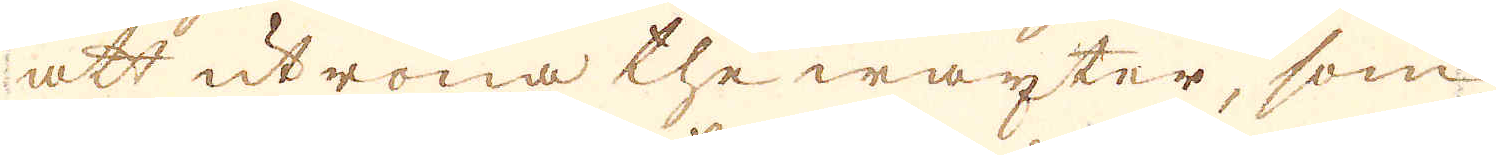att utröna the wäxter, som
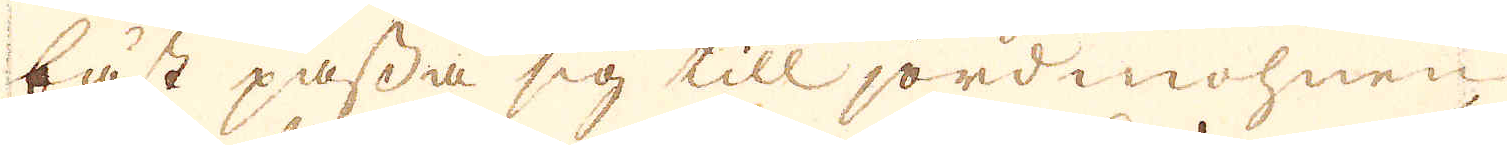bäst passa sig till jordmohnen
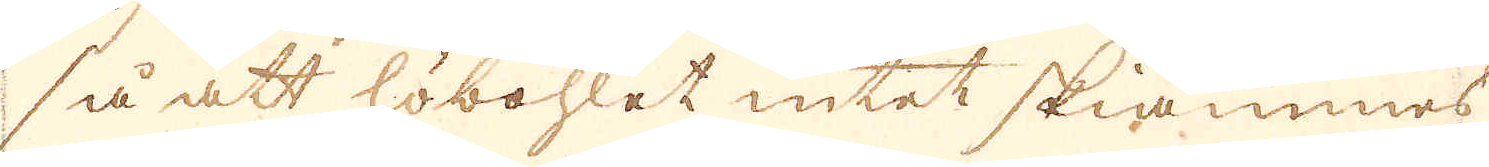så att höbohlet intet skiämmes
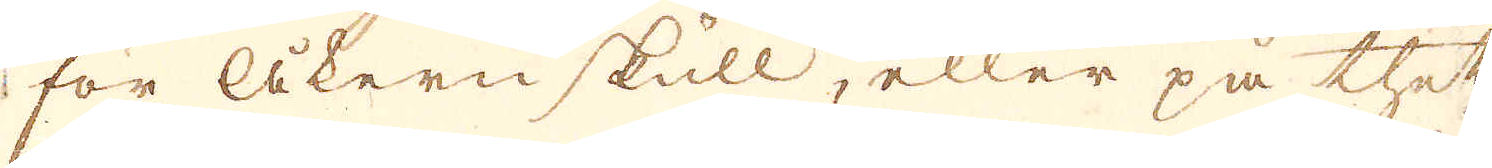för Åkern skull, eller på thet
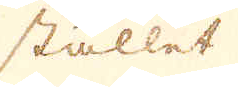stället
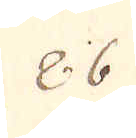86
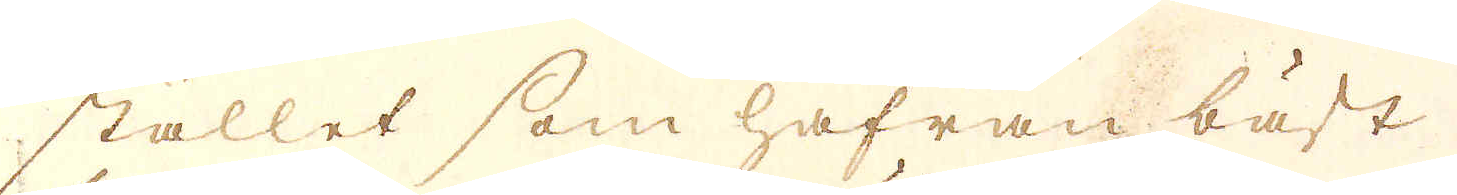stället som hafren bäst
